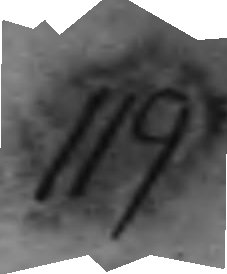119
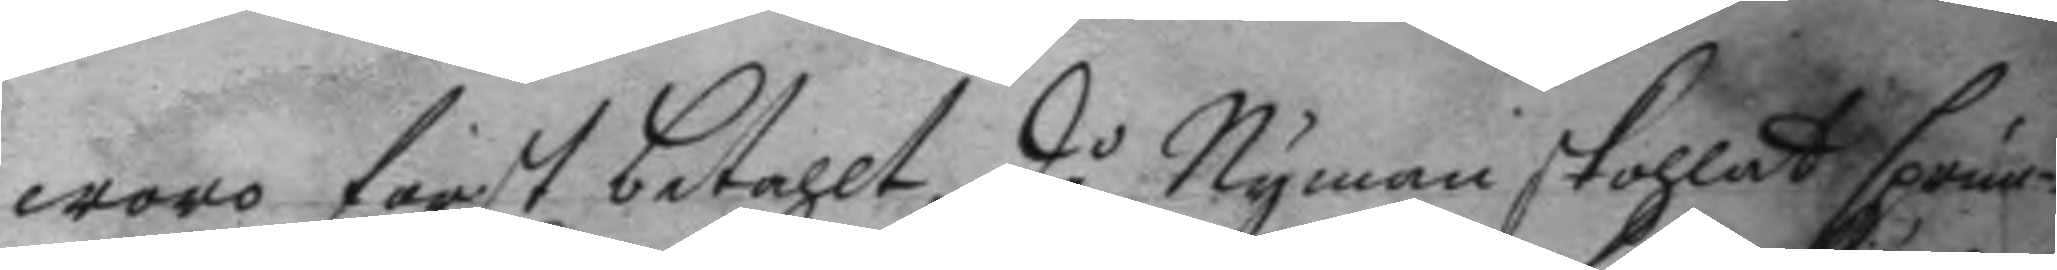woro först betahlt, då Nyman skohlat sprun¬
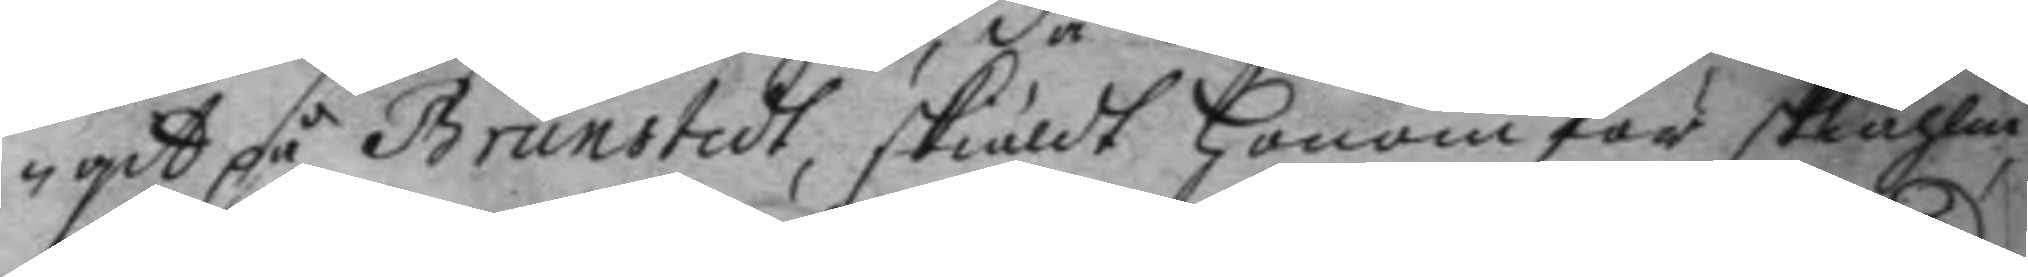git på Brunstedt, skiäldt honom för skiählm,
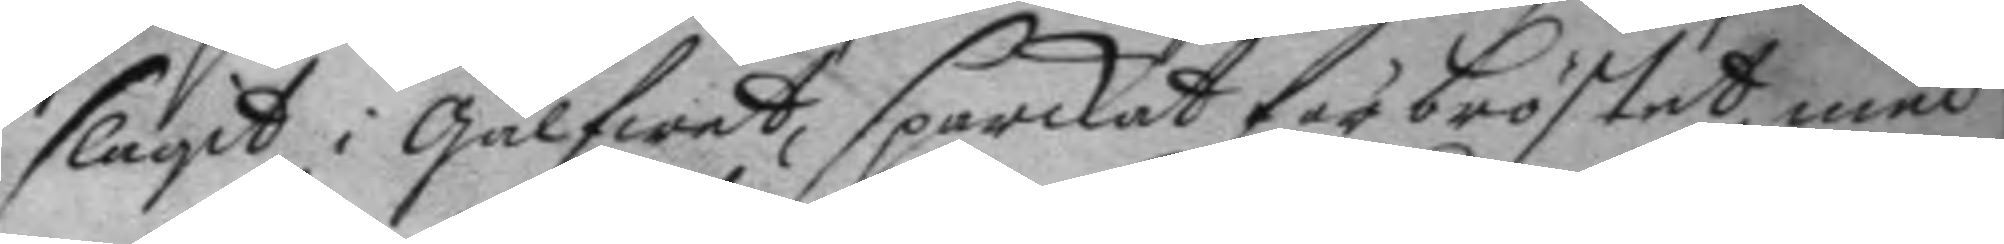slagit i gålfwet, sparkat för bröstet, med
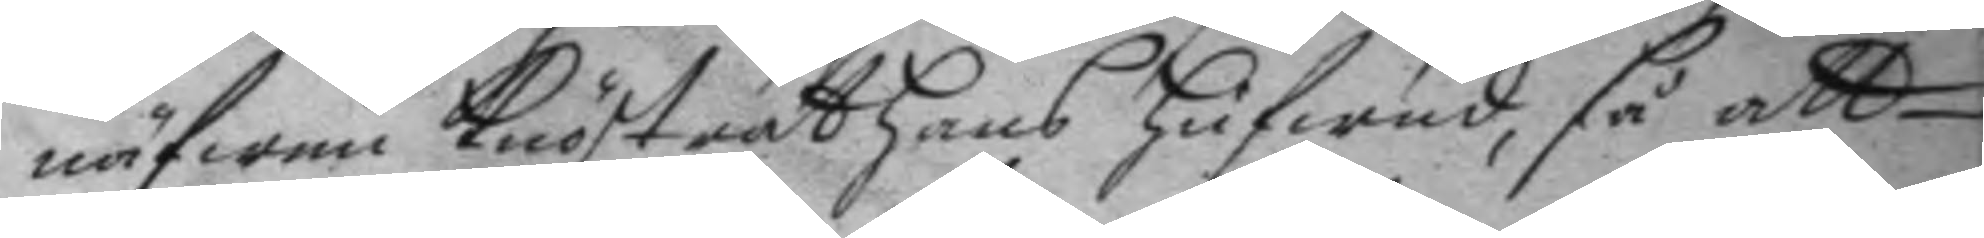näfwen knöstrat hans hufwud, så att
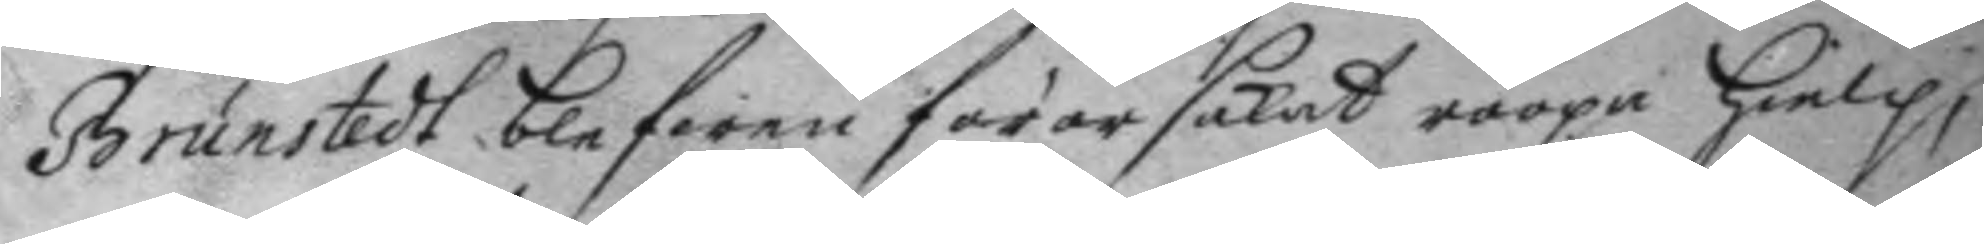Brunstedt blefwen förorsakat roopa hielp,
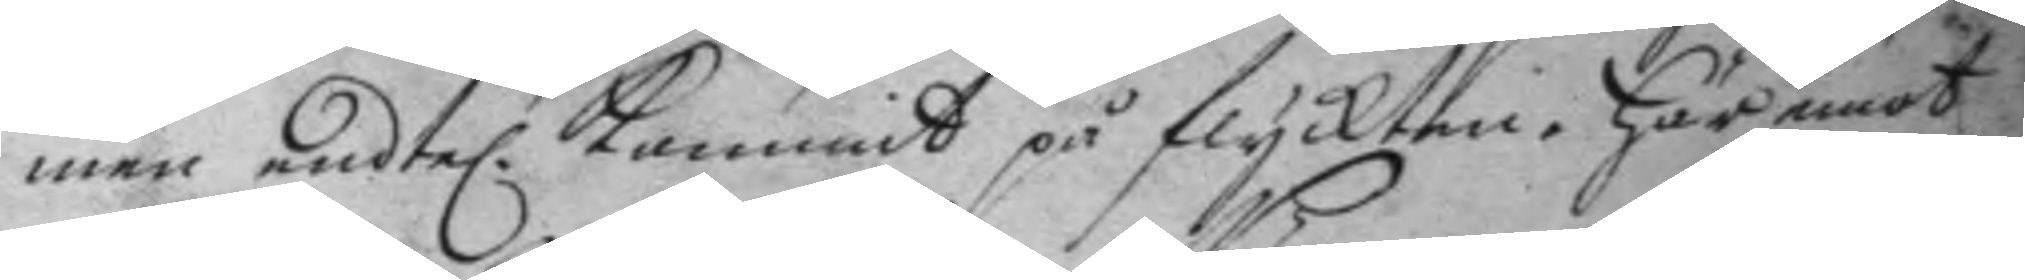men endte. kommit på flyckten här emot
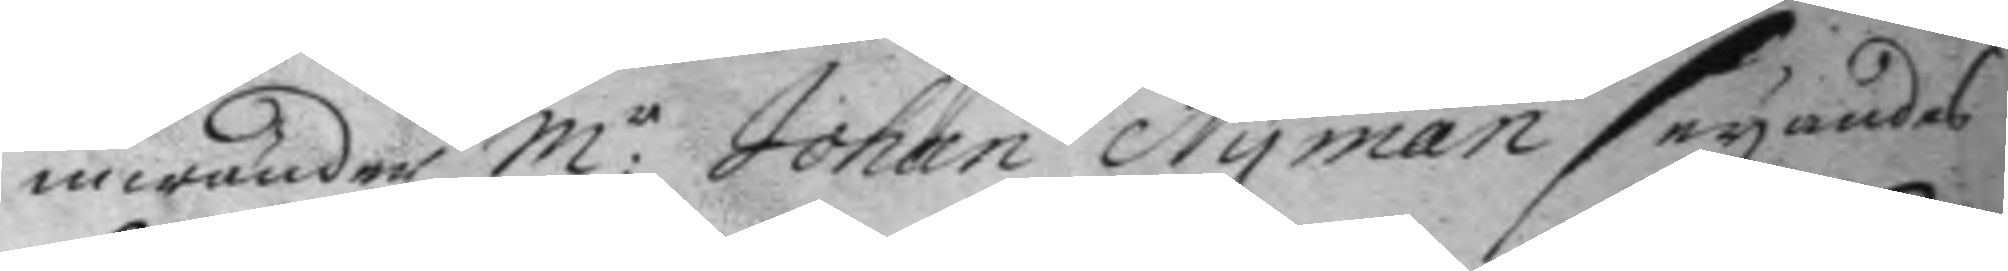inwänder M:r Johan Nyman seyandes
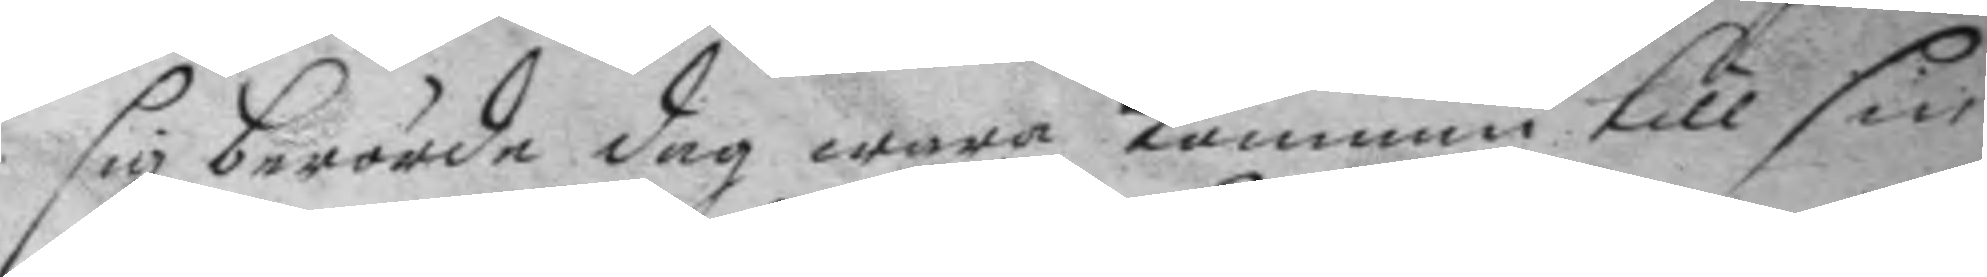sig berörde dag wara kommin till sin
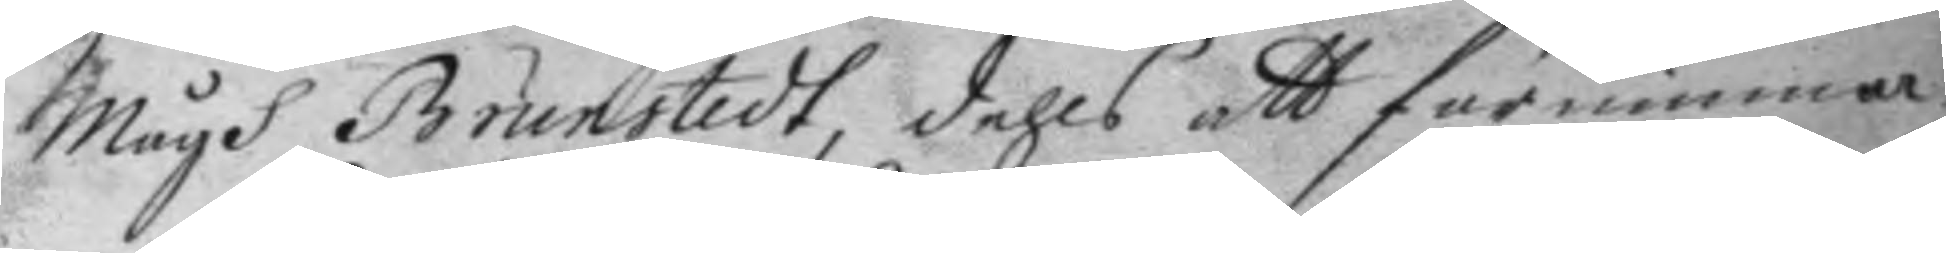mågh Brunstedt, dehls att förnimma
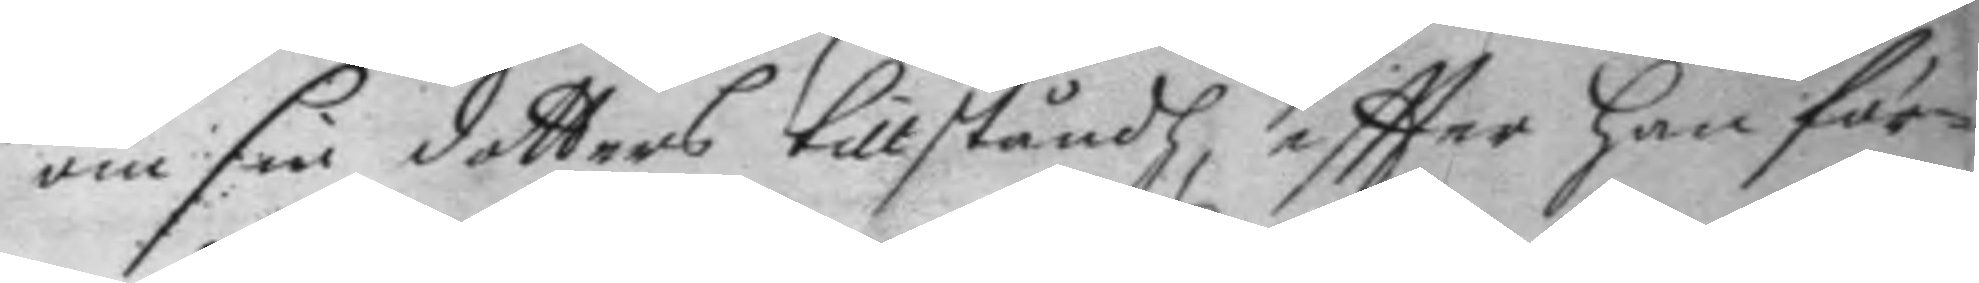om sin dotters tillståndh, eftter han för¬
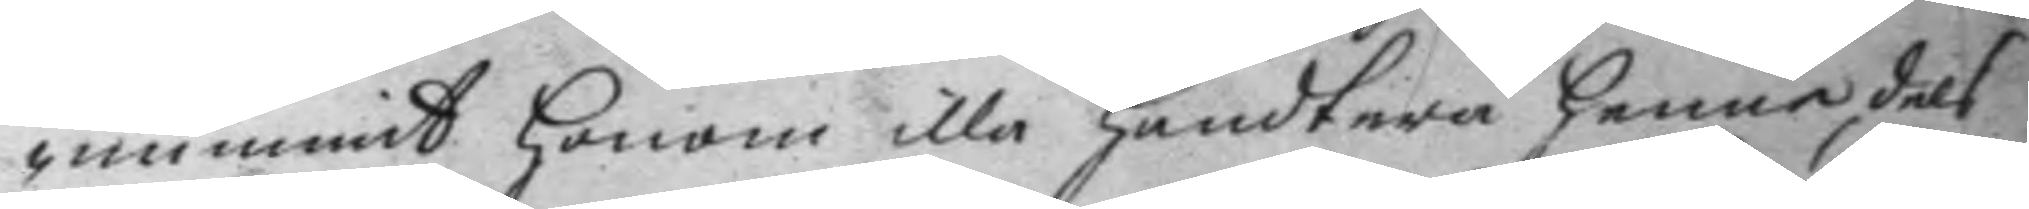nummit honom illa handtera henne, dels
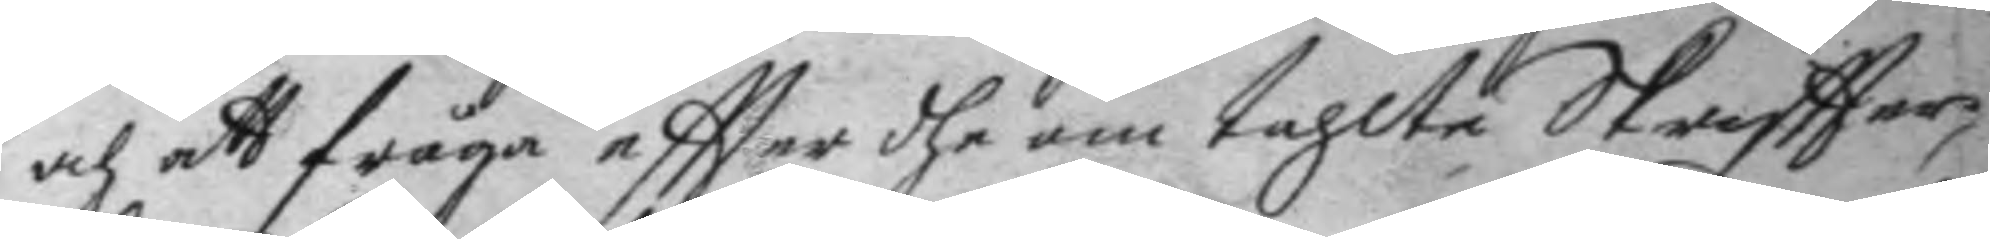och att fråga eftter dhe om tahlte Skriftter,
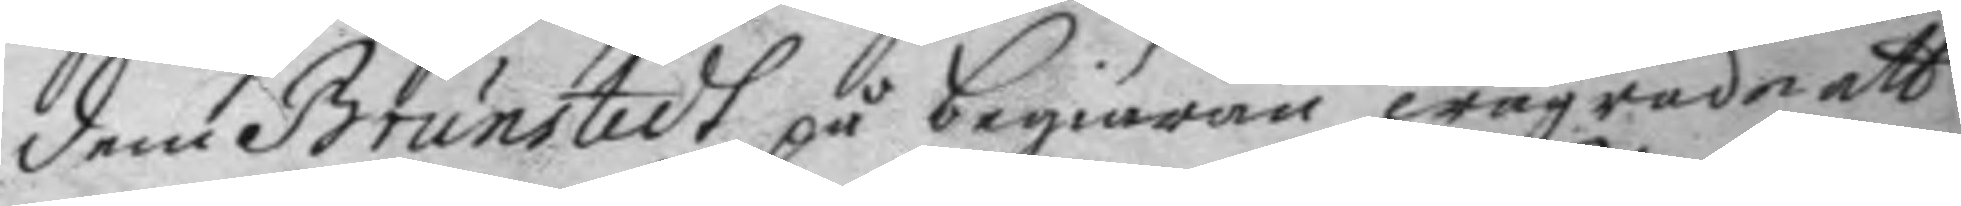dem Brunstedt på begiäran wägrade att
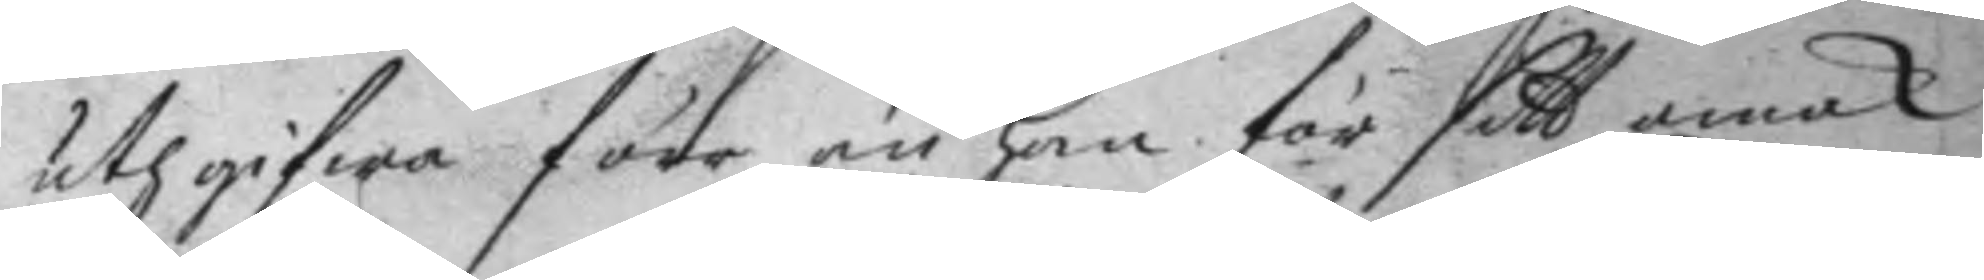uthgifwa förr än han för sitt omak
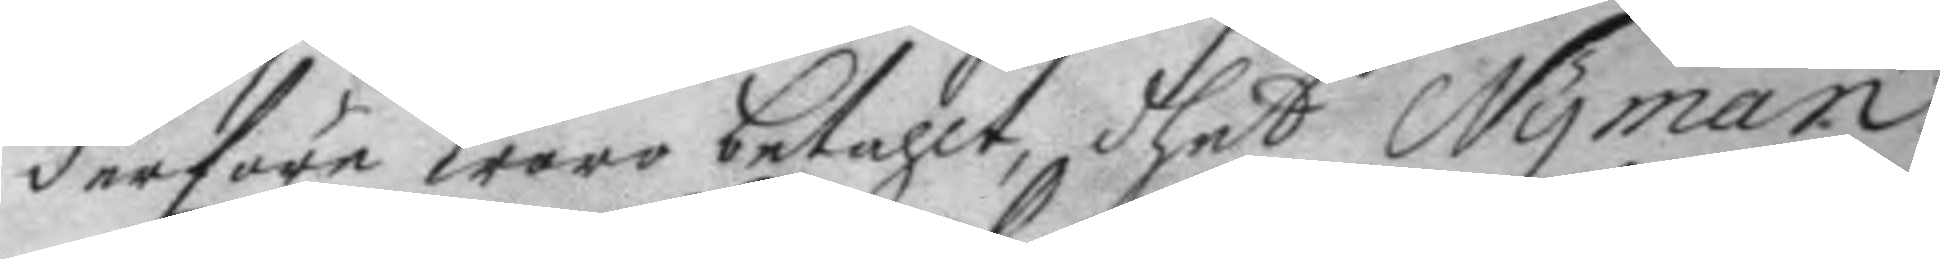derföre woro betahlt, dhet Nyman
